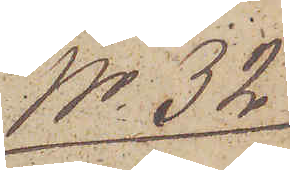No 32.
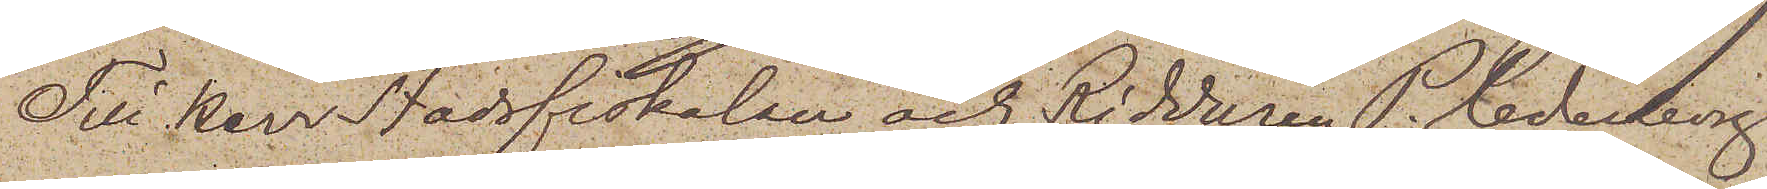Till Herr Stadsfiskalen och Riddaren P. Cederborg
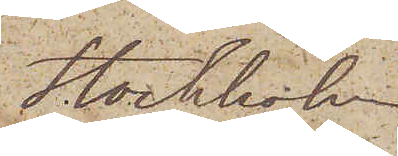Stockholm
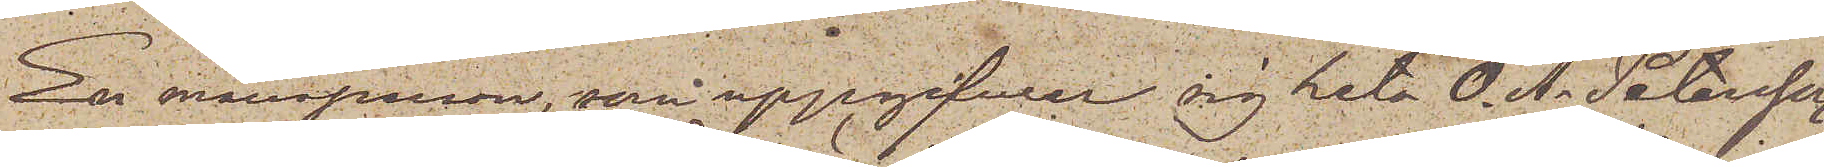En mansperson, som uppgifwer sig heta O. A. Petersson,
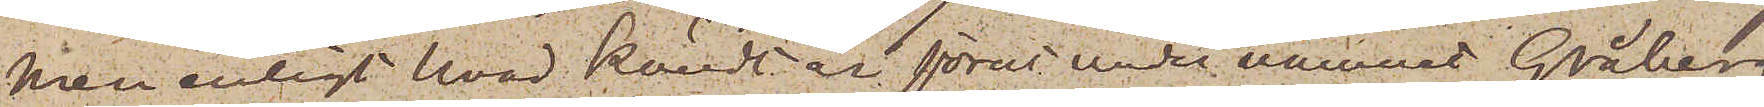men enligt hvad kändt är förut under namnet Gråberg
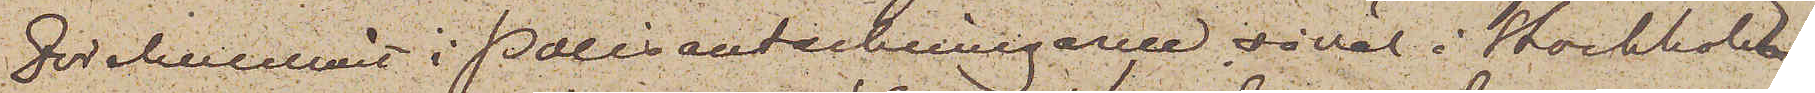förekommit i Polisanteckningarne såväl i Stockholm
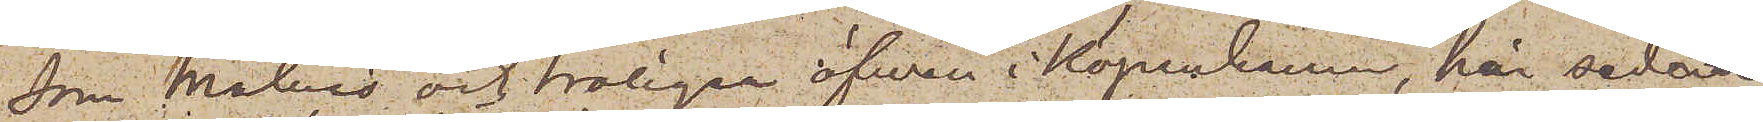som Malmö och troligen äfwen i Köpenhamn, har sedan
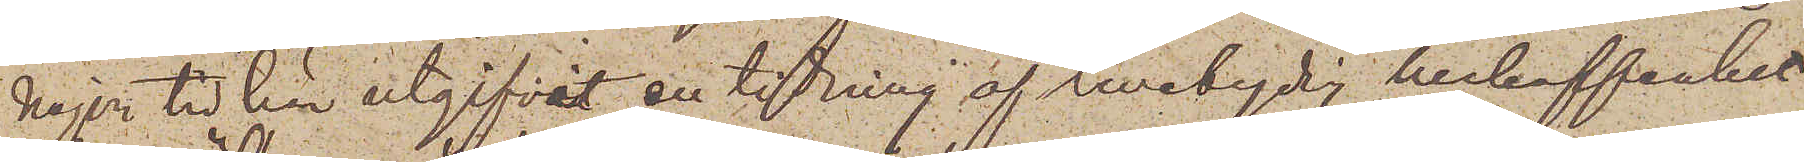någon tid här utgifvit en tidning af tvetydig beskaffenhet
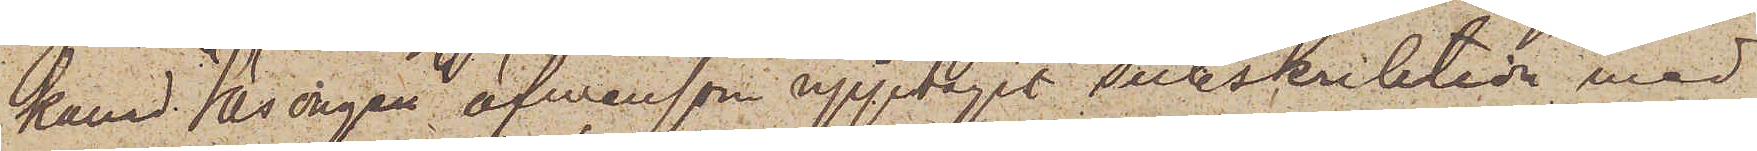kallad "Säsongen", äfvensom upptagit subskribtion med
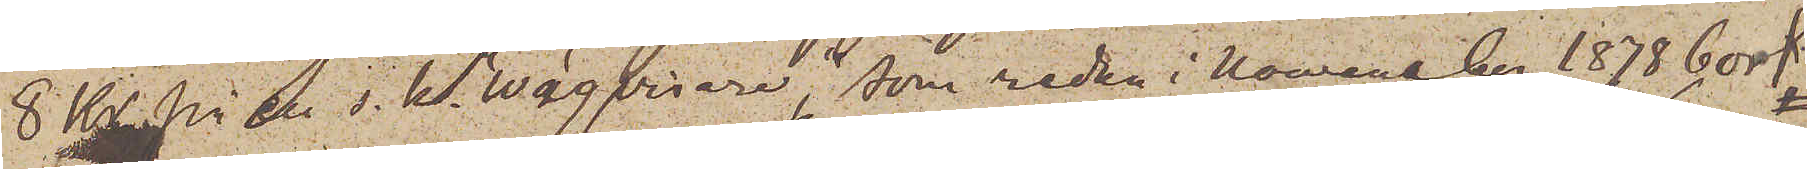8 Kr. på en s. k. "Wägvisare", som redan i Nowember 1878 bort
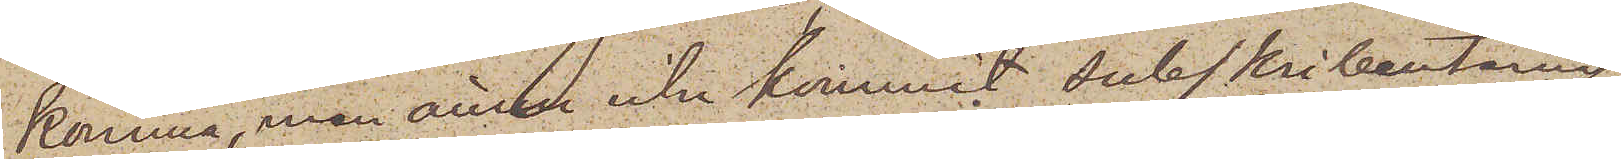utkomma, men ännu icke kommit subskribenterna
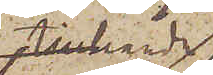tillhanda,
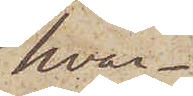hvar¬
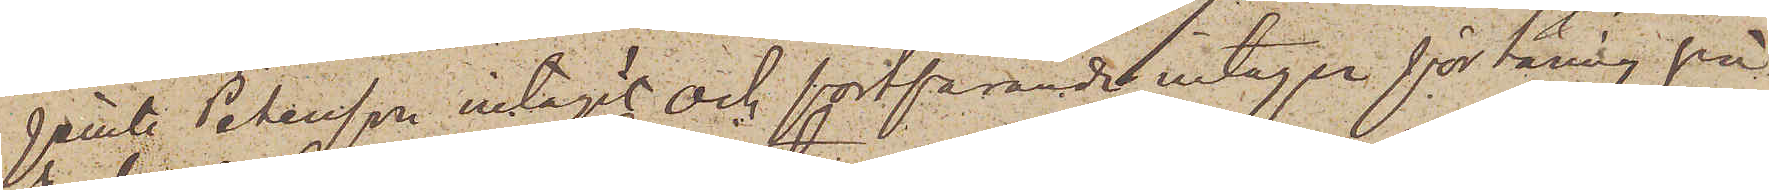jemte Petersson intagit och fortfarande intager förtäring på
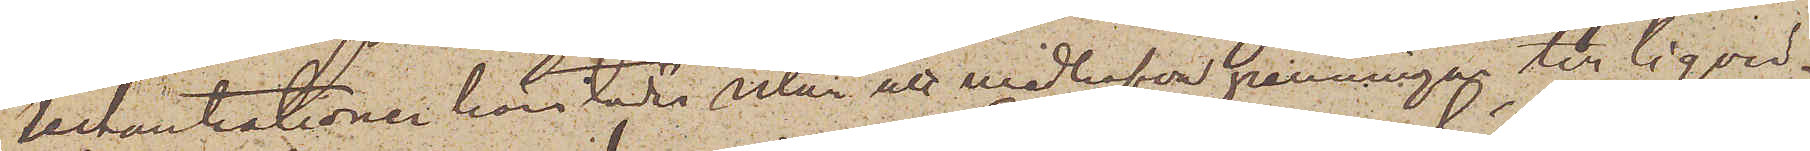Restaurationer härstädes utan att medhafva penningar till liqvid.
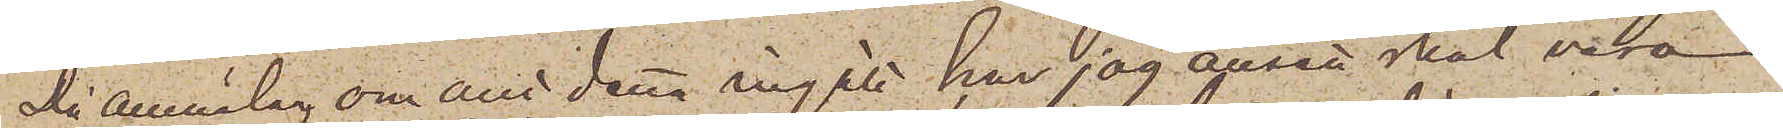Då anmälan om allt detta ingått har jag ansett skäl vara
